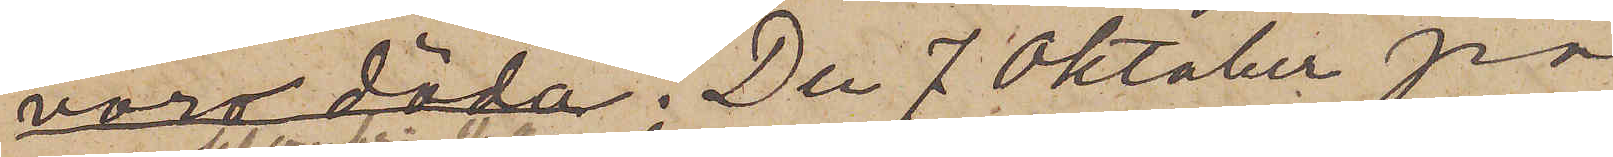voro döda. Den 7 Oktober på
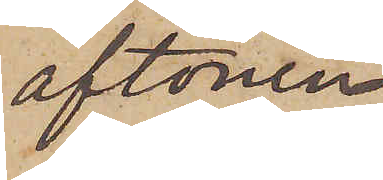aftonen,
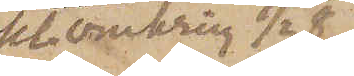kl. omkring 1/2 8
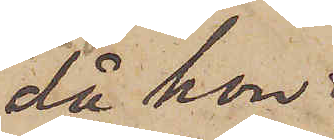då hon
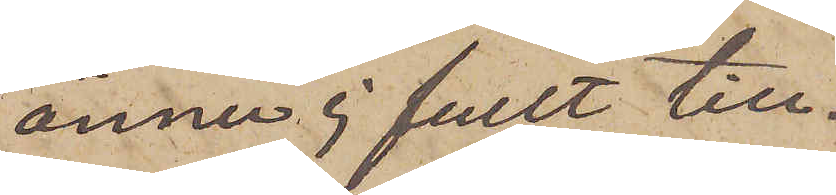ännu ej fullt till¬
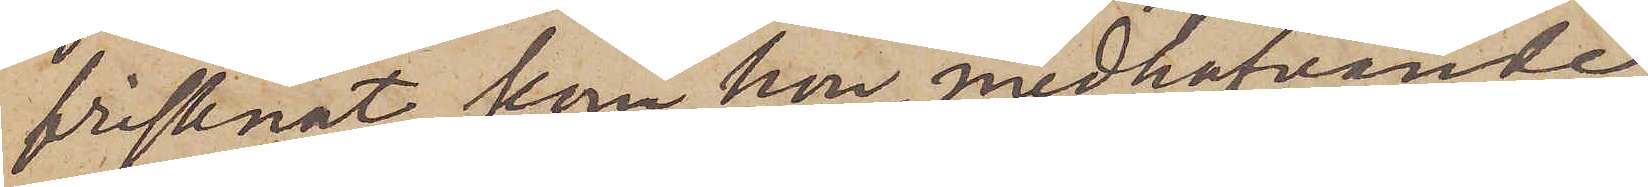frisknat, kom hon, medhafvande
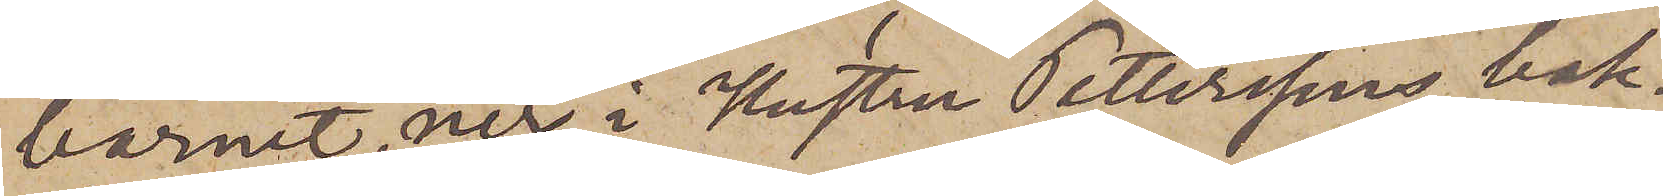barnet, ner i Hustru Petterssons bak¬
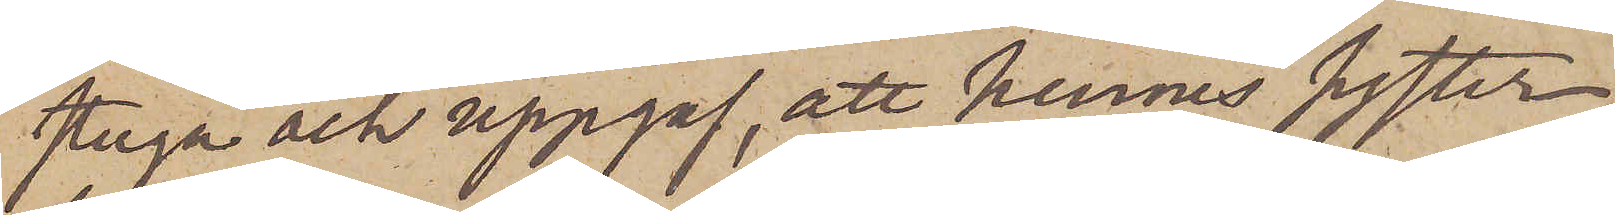stuga och uppgaf, att hennes syster,
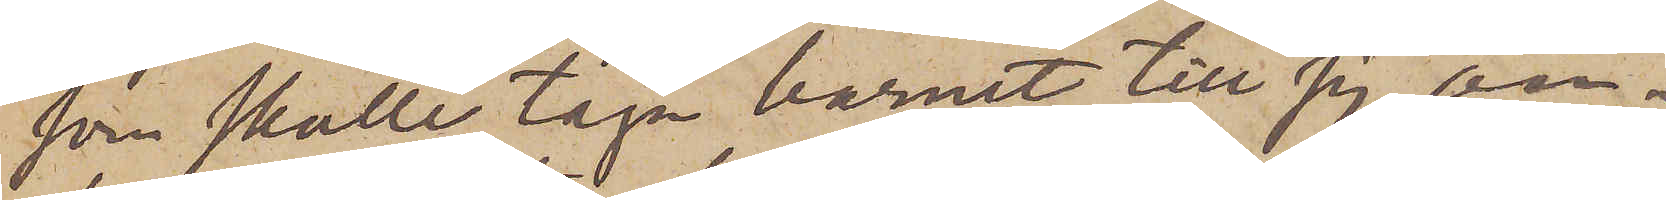som skulle taga barnet till sig an¬
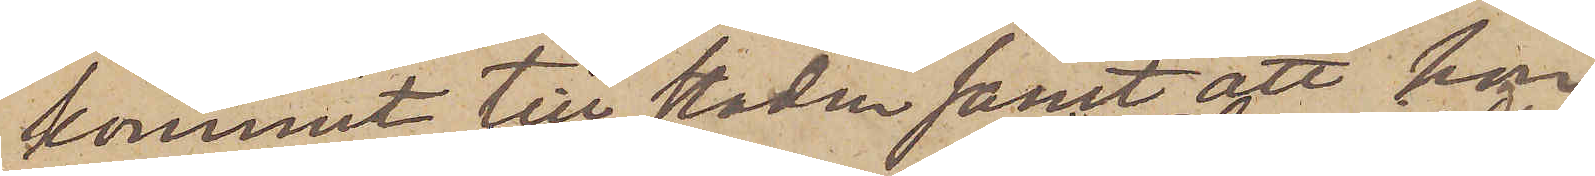kommit till staden samt att hon
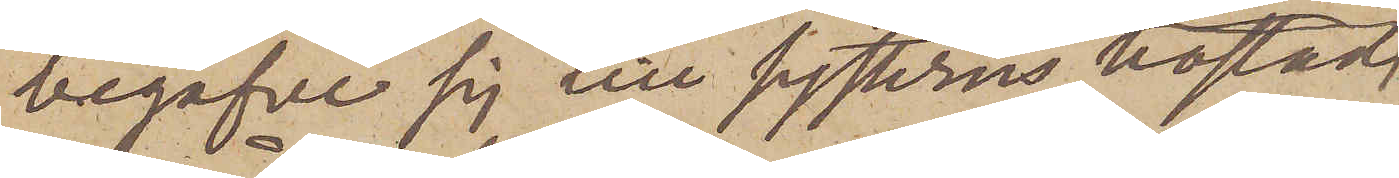begåfve sig till systerns bostad
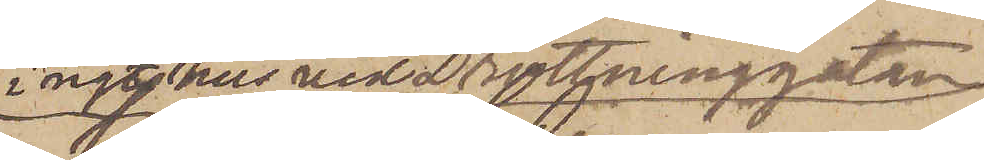i ngt hus vid Drottninggatan.
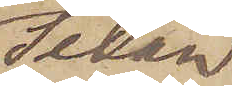Sedan
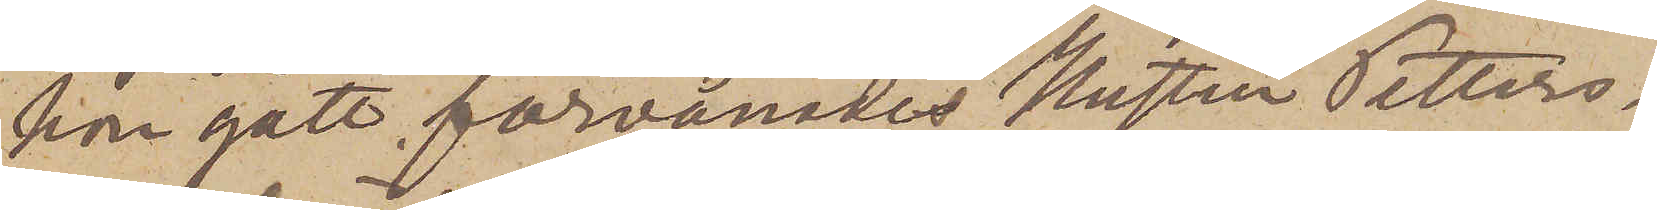hon gått förvånades Hustru Petters¬
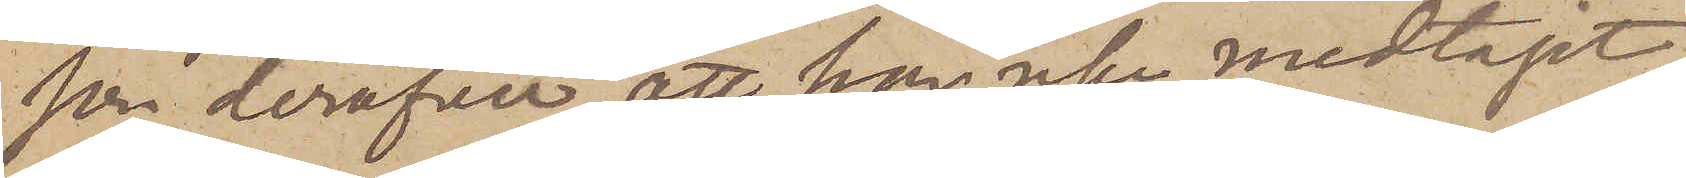son deröfver, att han icke medtagit
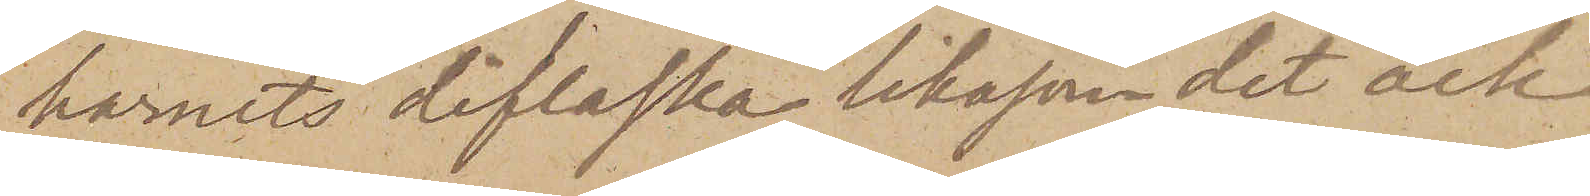barnets diflaska likasom det ock
